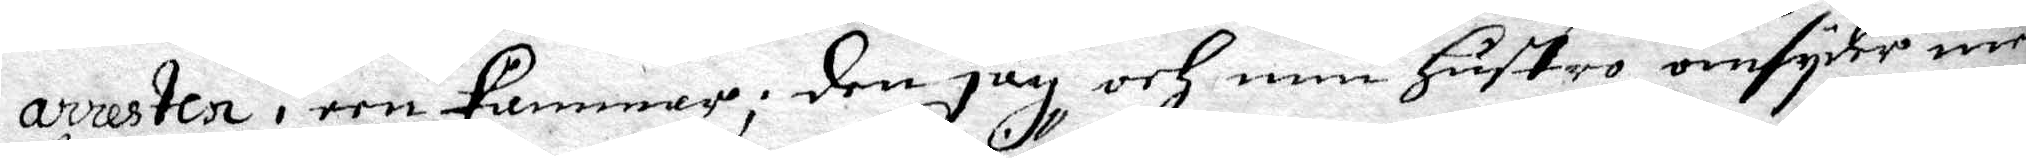arresten i een kammare; den jag och min hustro omsyder med
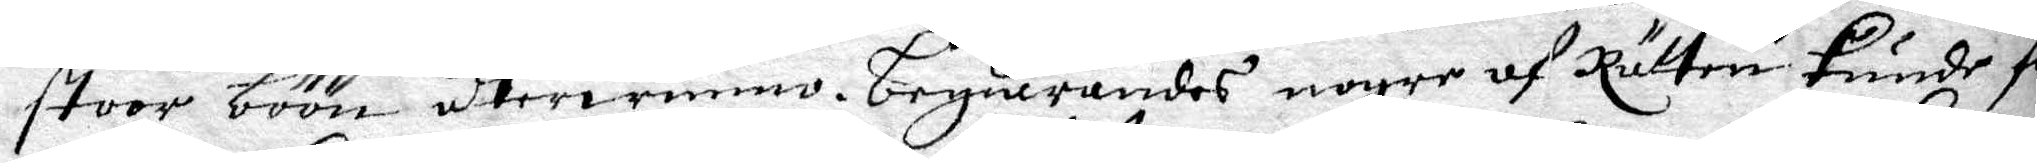stoor böön återwunno. Begiärandes nogre af Rätten kunde för¬
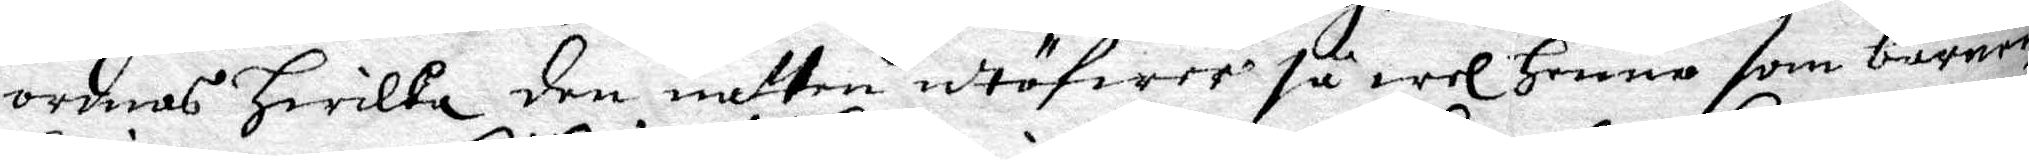ordnas hwilka den natten utöfwer så wel henne som barnen
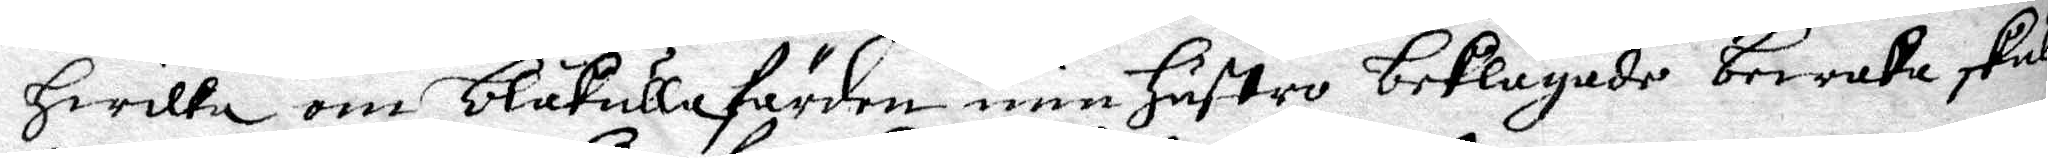hwilka om blåkullafärden min hustro beklagade bewaka skulle.
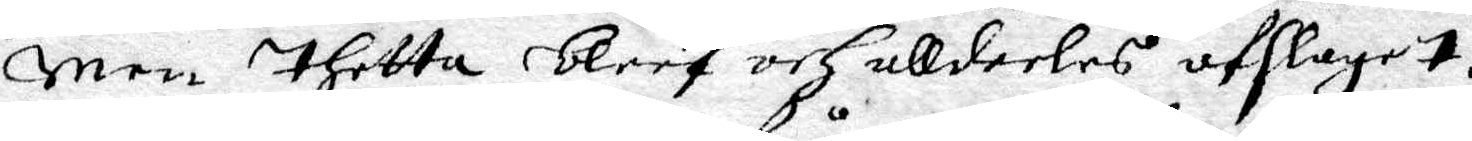men thetta bleef och alldeles afslaget.
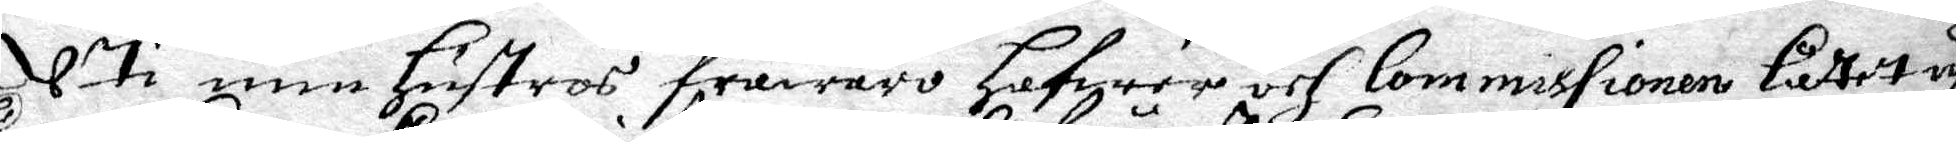uti min hustros frånwaro hfwer och Commissionen låttet upp¬
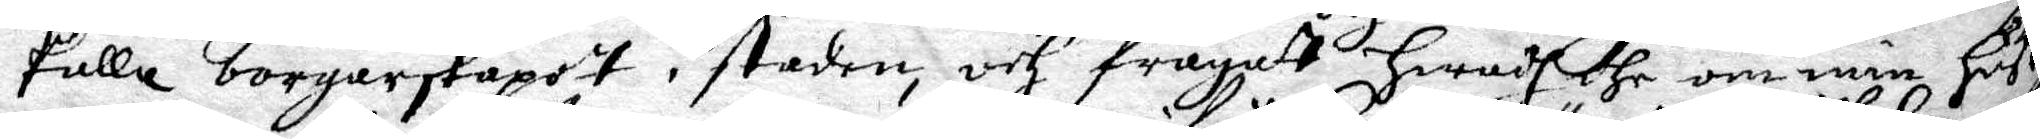kalla borgerskapet i staden, och frågat hwad dhe om min hustro
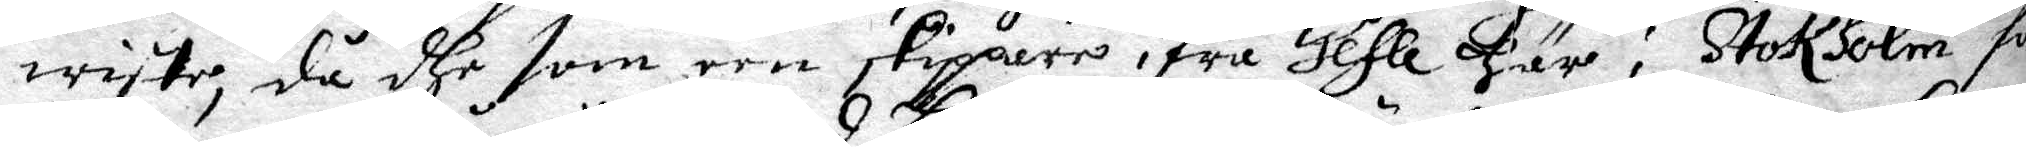wiste, då dhe som een skippere ifrå Gefle här i Stokholm för¬
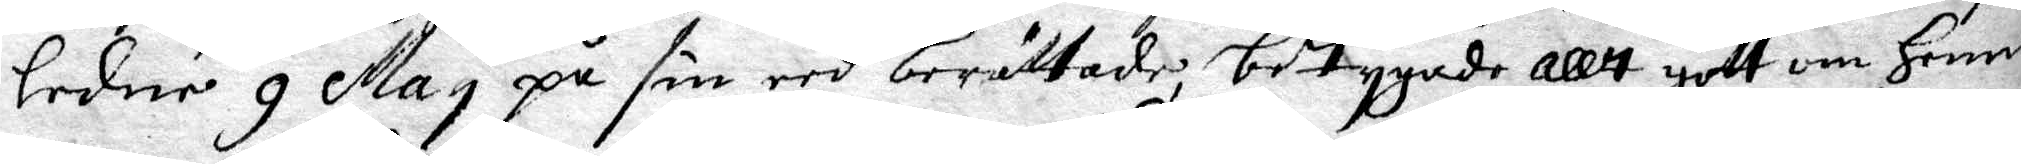ledne 9 May på sin eed berättade, betygade allt gott om henne
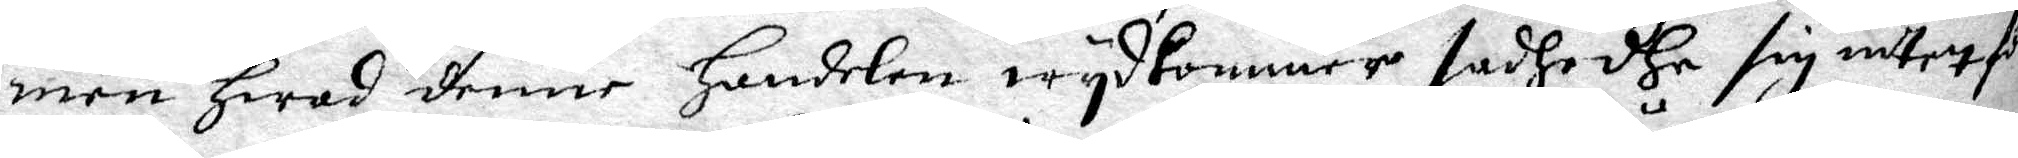men hwad denne handelen wydkommer sadhe dhe sig intet för
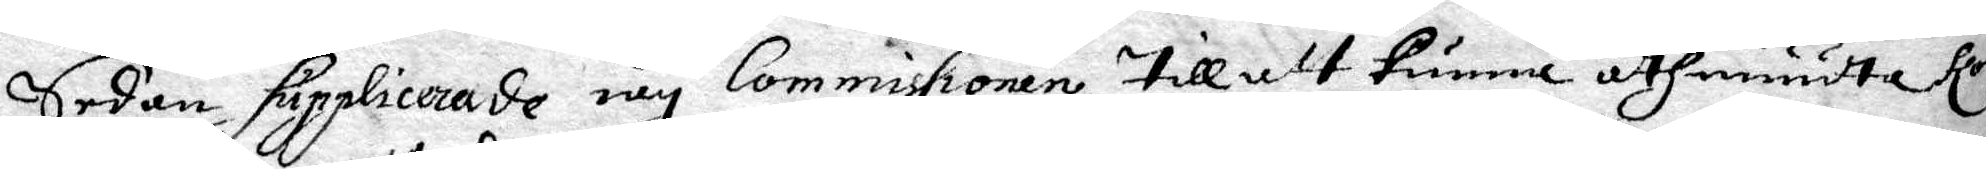Sedan Supplicerade iag Commissionen till att kunna åthniuta Kongl
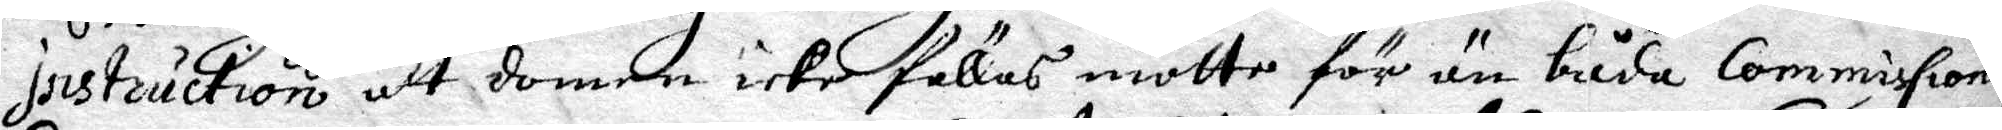Instruction att domen icke fällas motte för än båda Commissionerna
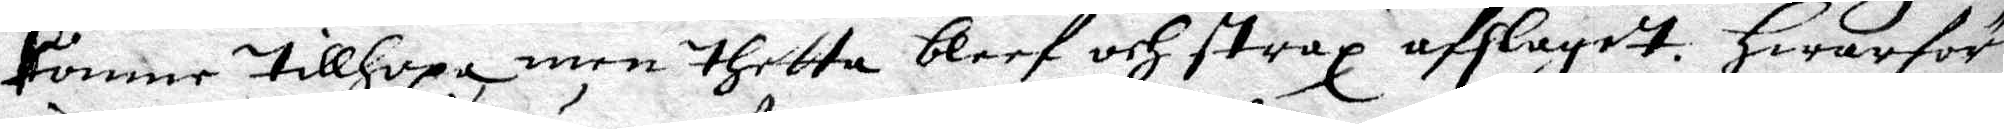kommer tillhopa, men thetta bleef och strax afslaget. Hwarföre
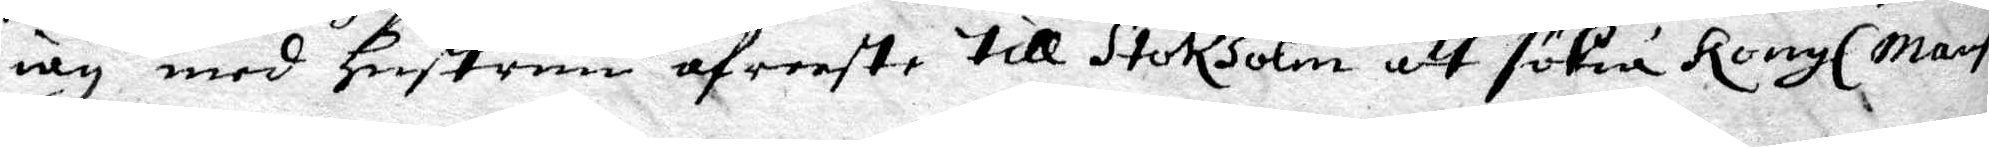iag med hustrun afreeste till Stokholm att sökia Kongl May tz
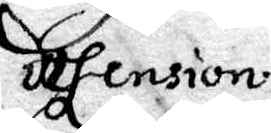defension.
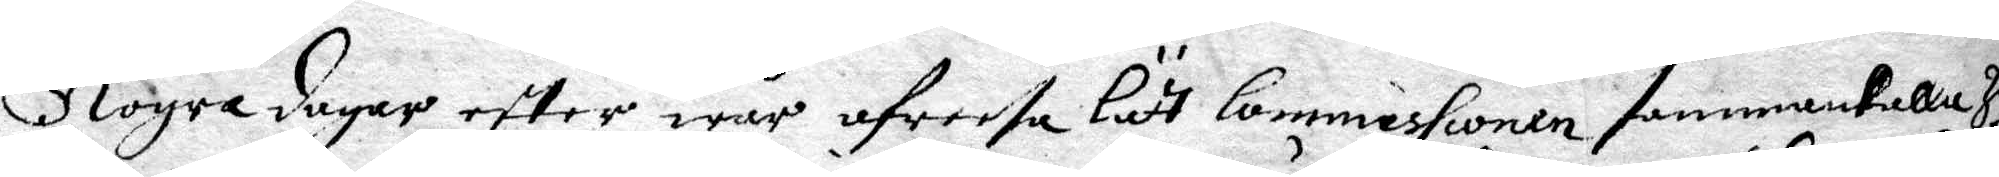Nogre dagar efter wår afreesa lätt Commissionen sammankalla hela
